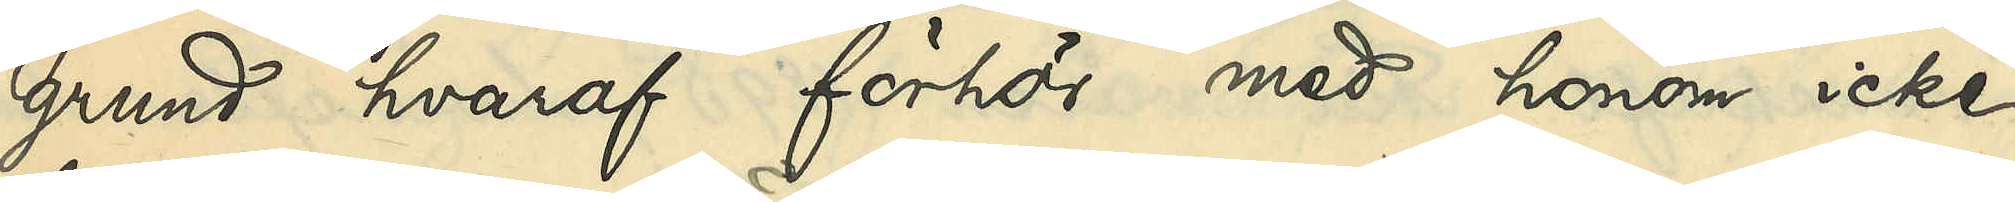grund hvaraf förhör med honom icke
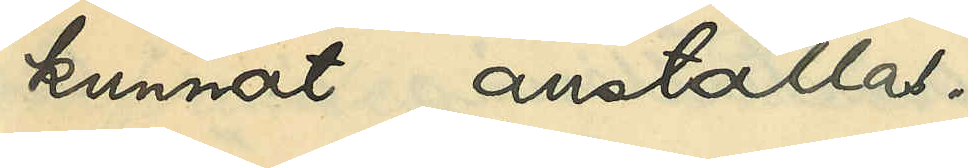kunnat anställas.
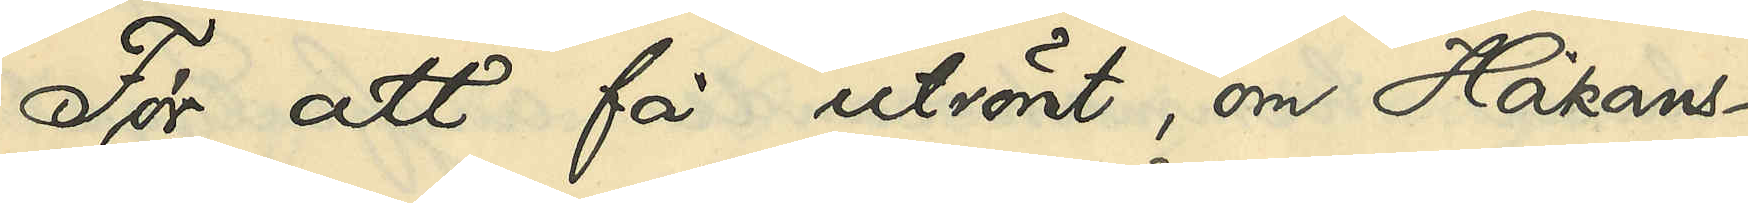För att få utrönt, om Håkans¬
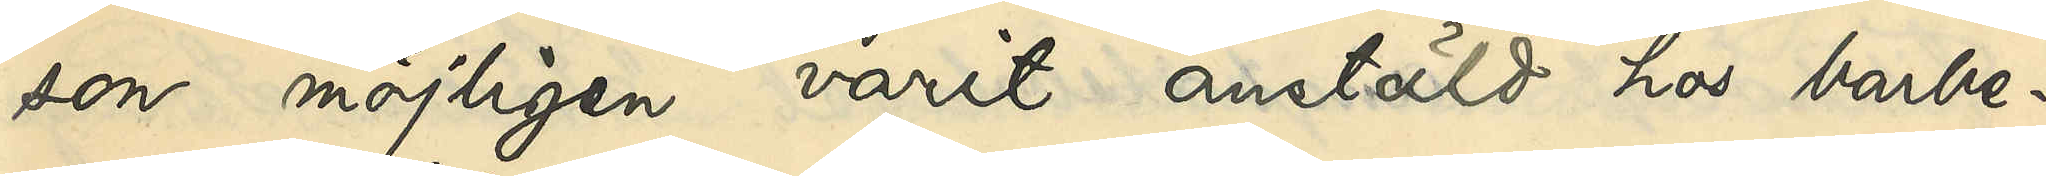son möjligen varit anstäld hos barbe¬
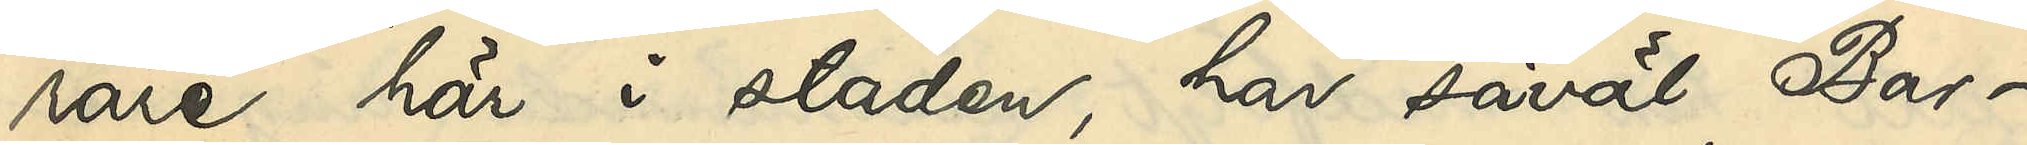rare här i staden, har såväl Bar¬
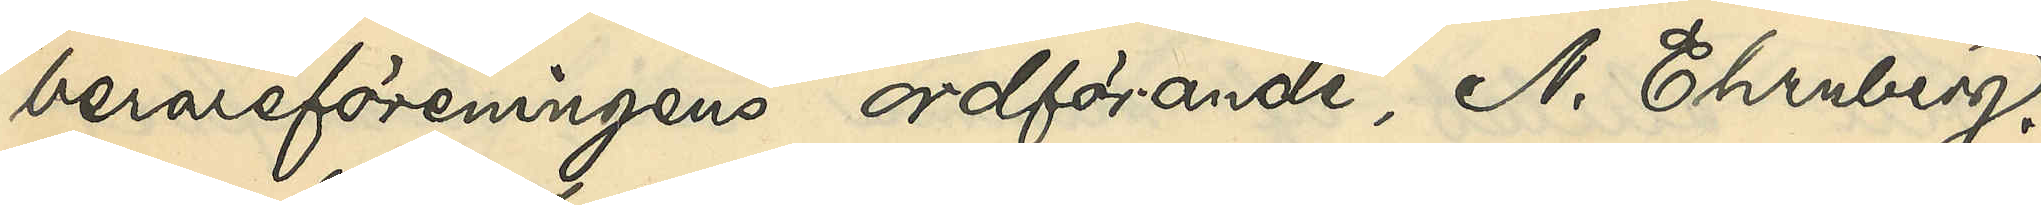berareföreningens ordförande, A. Ehrnberg,
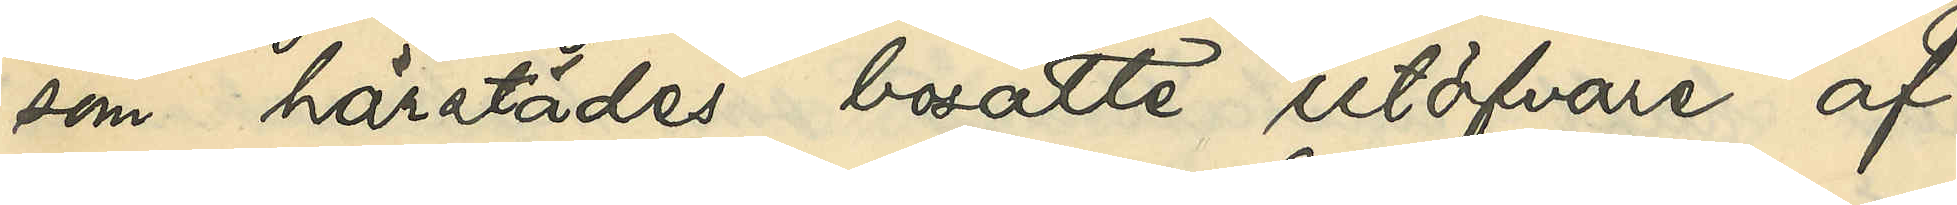som härstädes bosatte utöfvare af
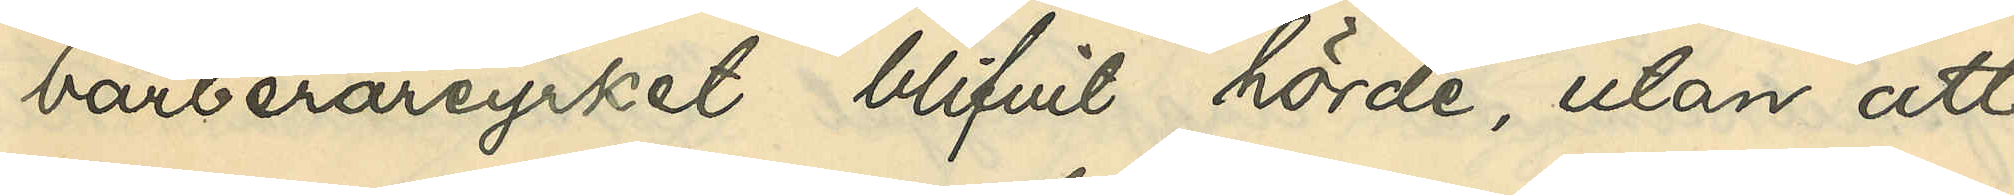barberareyrket blifvit hörde, utan att
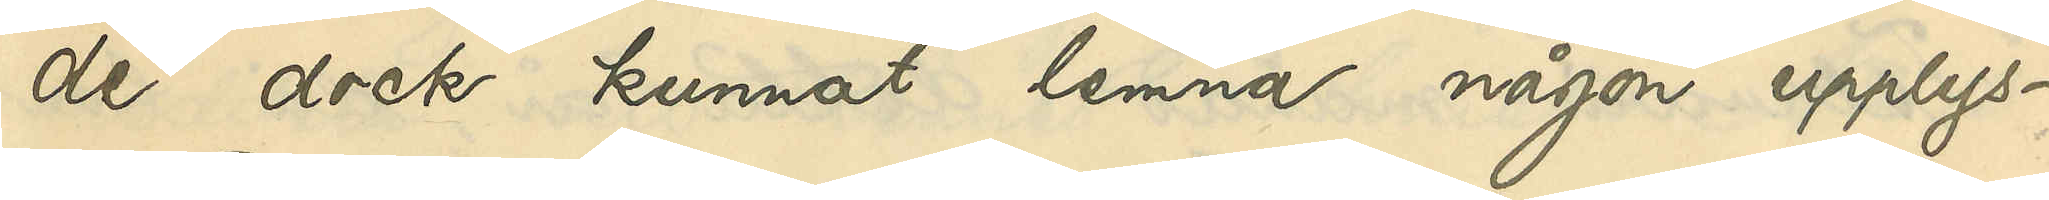de dock kunnat lemna någon upplys¬
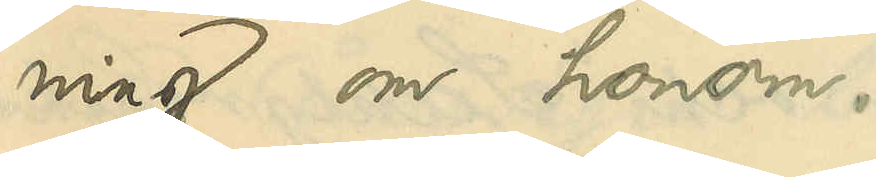ning om honom.
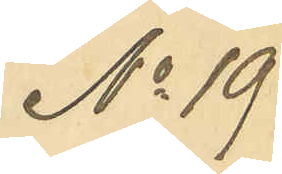No 19
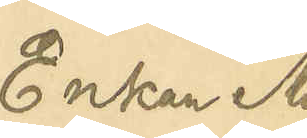Enkan Ma
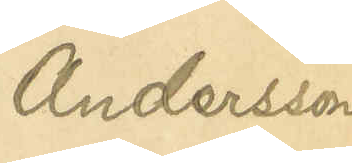Andersson
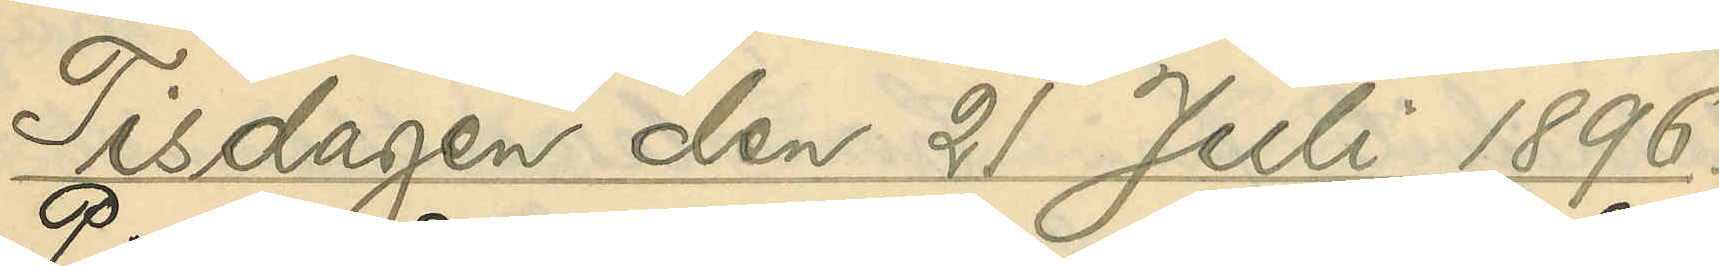Tisdagen den 21 juli 1896.
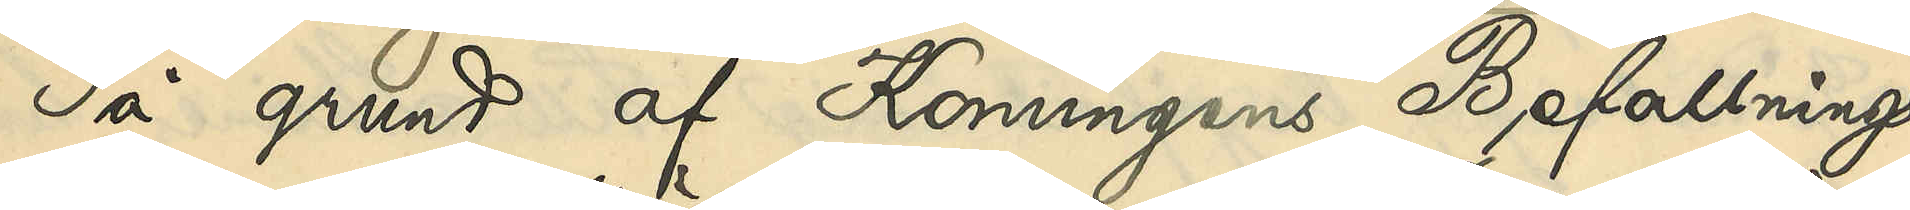På grund af Konungens Befallnings¬
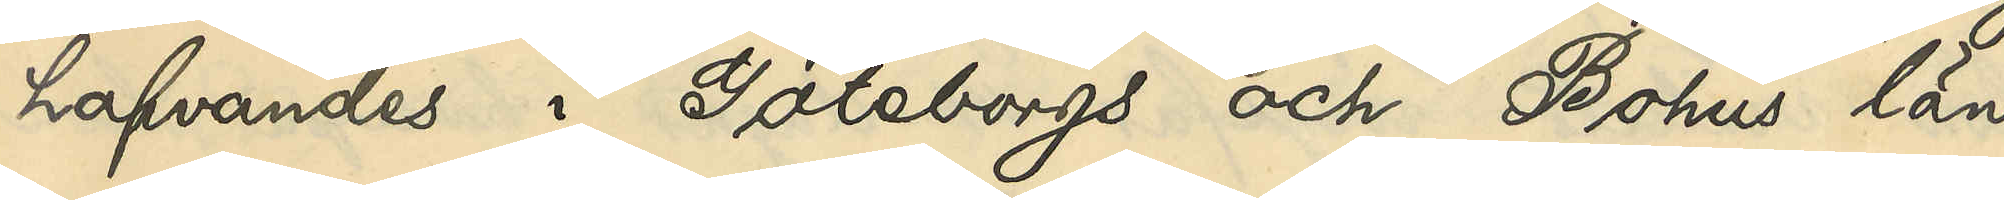hafvandes i Göteborgs och Bohus län
